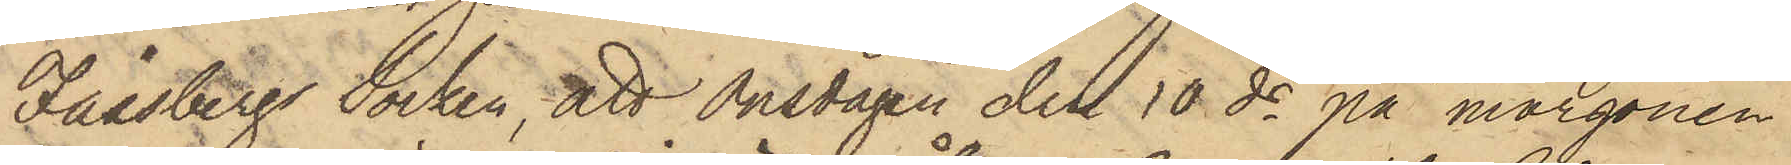Fässbergs Socken, att Onsdagen den 10 ds på morgonen
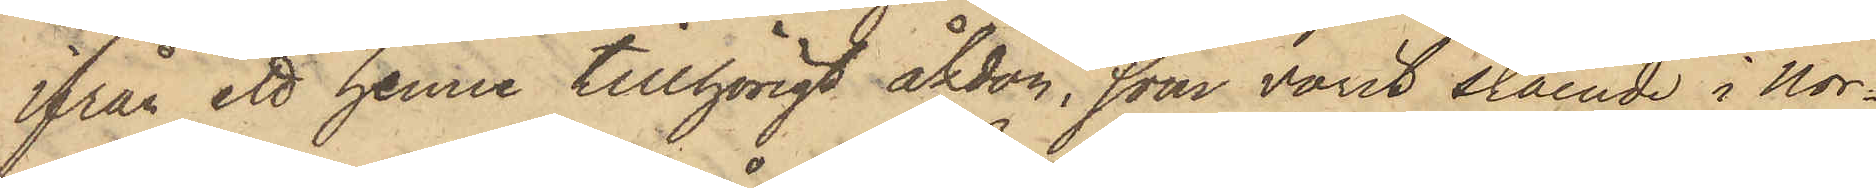ifrån ett henne tillhörigt åkdon, som varit stående i Nor¬
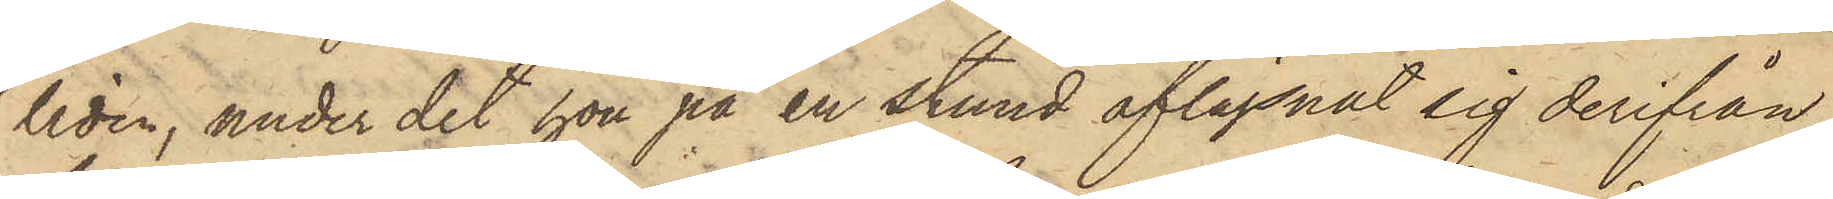liden, under det hon på en stund aflägsnat sig derifrån,
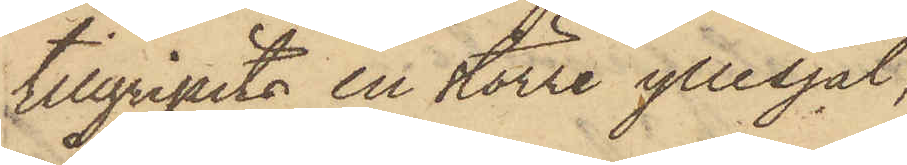tillgripits en större yllesjal,
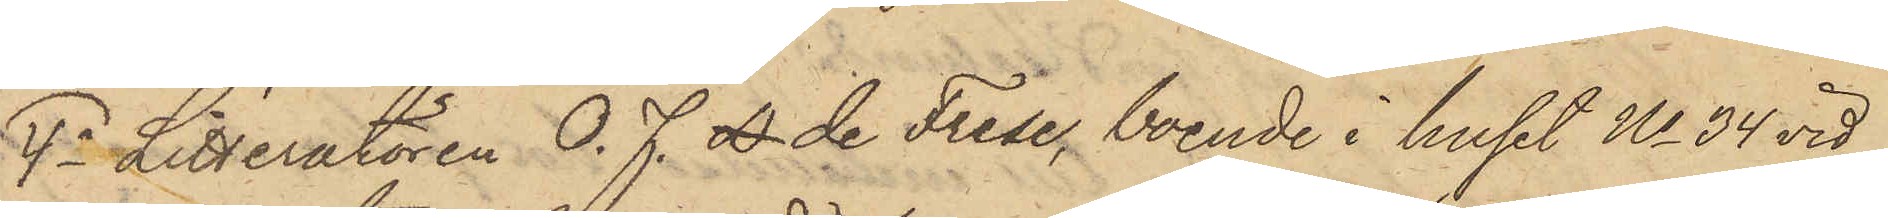4o Litteratören O. F. D. de Frese, boende i huset No 34 vid
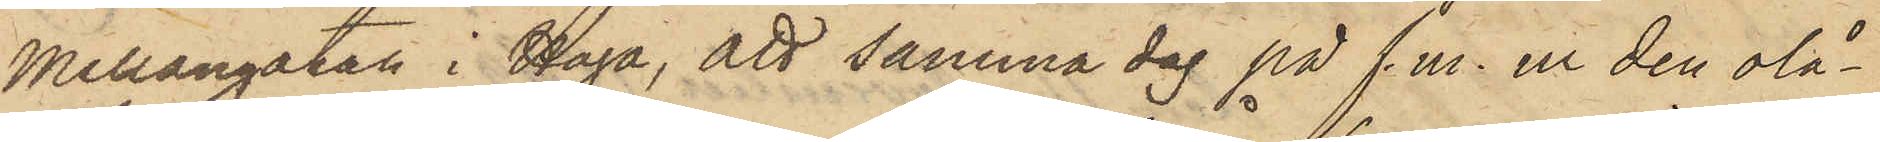Mellangatan i Haga, att samma dag på f.m. ur den olå¬
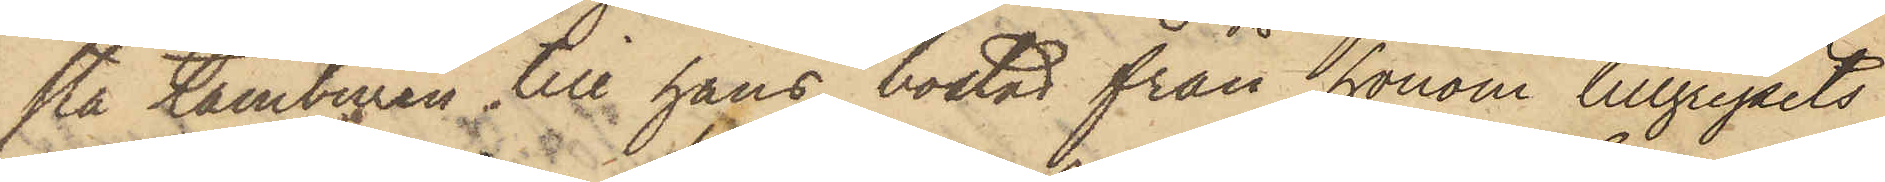sta tamburen till hans bostad från honom tillgripits
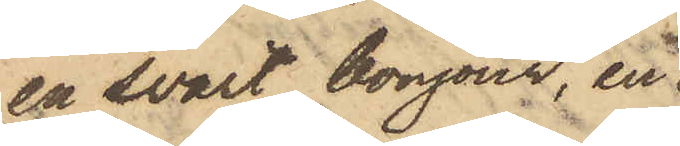en svart bonjour, en
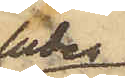luden
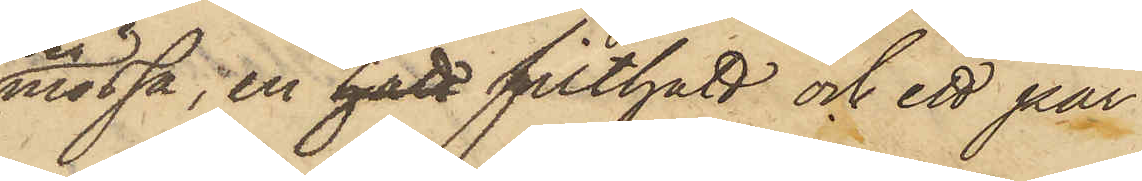mössa, en hatt filthatt och ett par
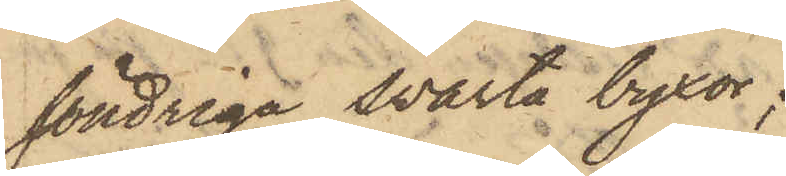söndriga svarta byxor;
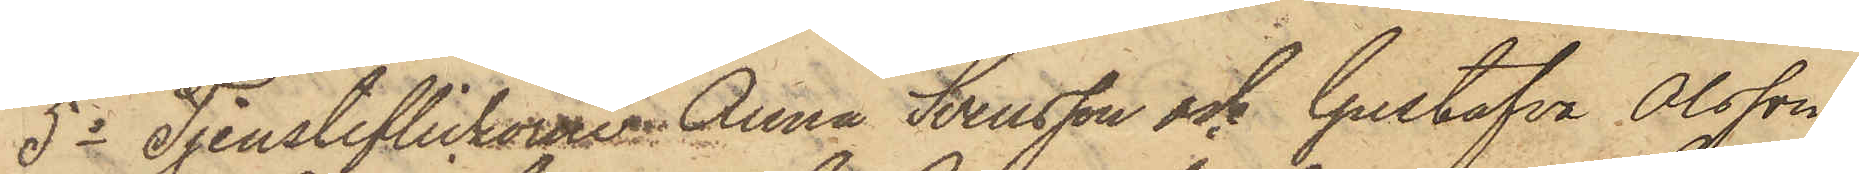5o Tjensteflickorne Anna Svensson och Gustafva Olsson,
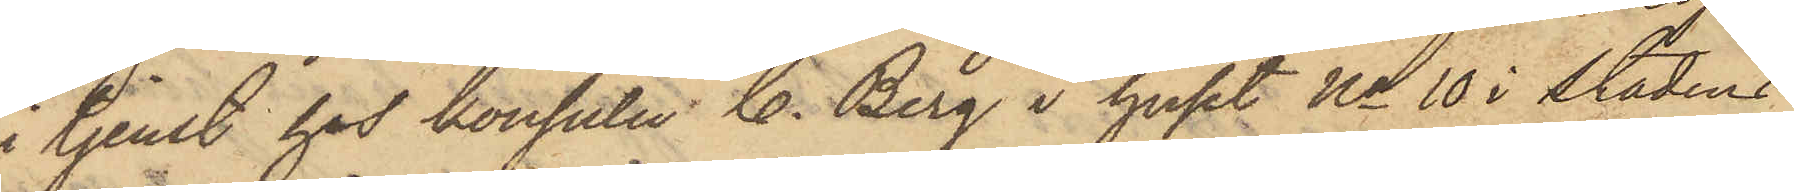i tjenst hos konsuln C. Berg i huset No 10 i Stadens
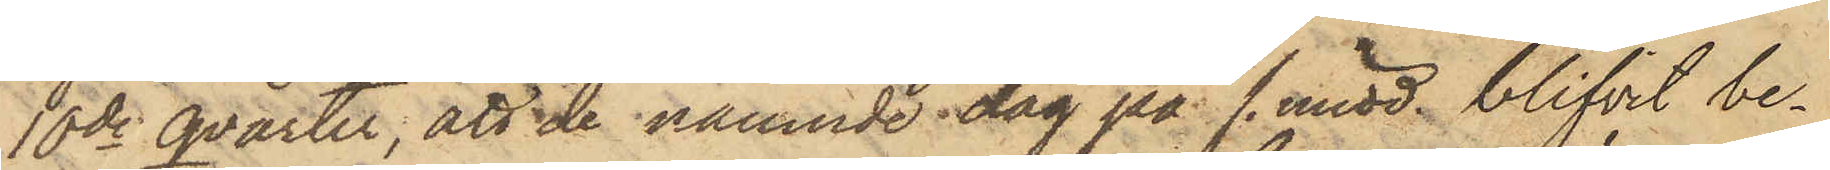10de qvarter, att de nämnde dag på f. midd. blifvit be¬
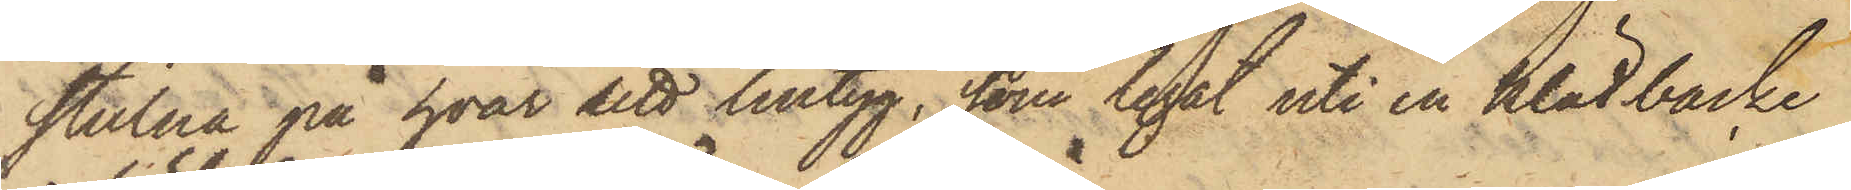stulna på hvar sitt lintyg, som legat uti en klädbacke
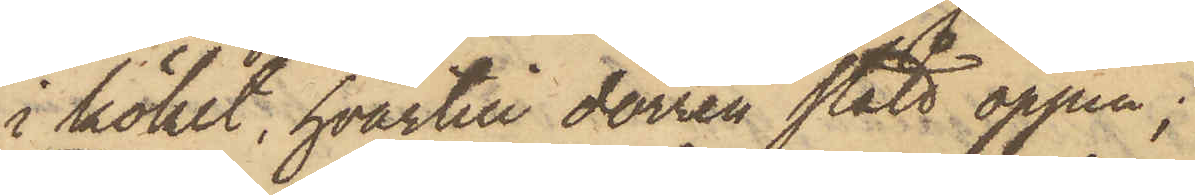i köket, hvartill dörren stått öppen;
